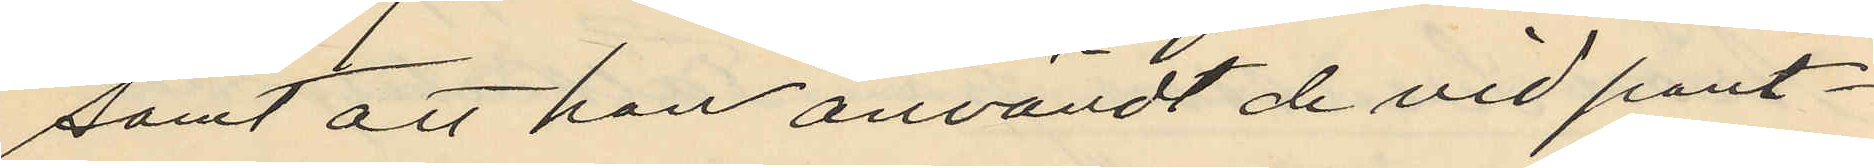samt att han användt de vid pant¬
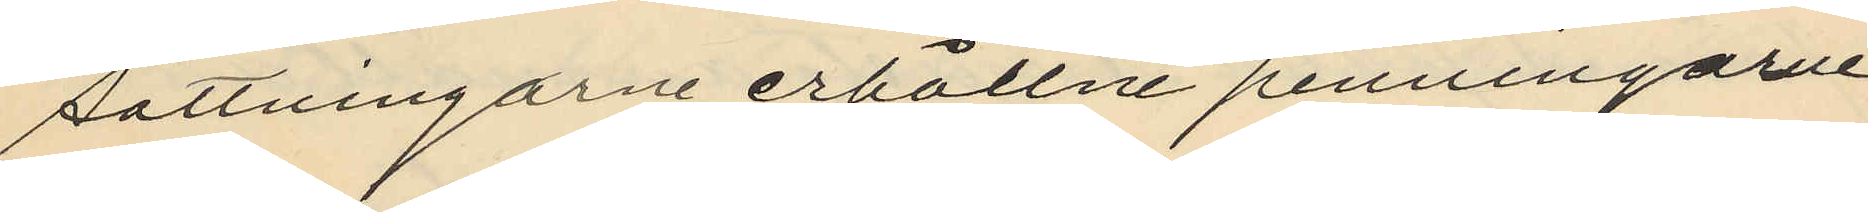sättningarne erhållne penningarne
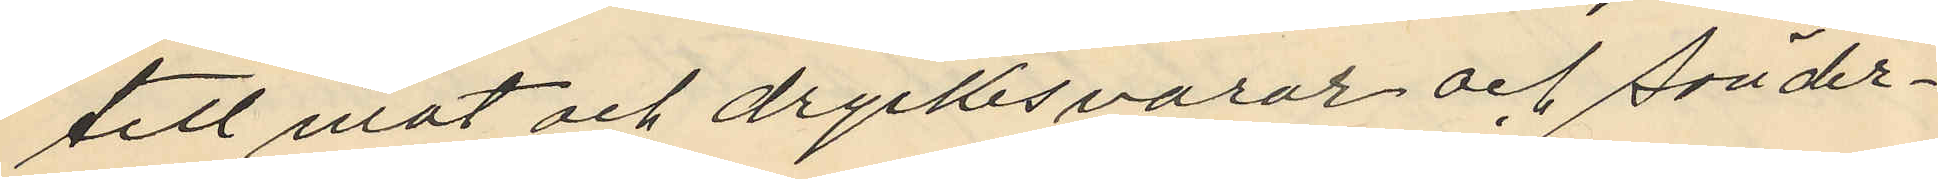till mat och dryckesvaror och sönder¬
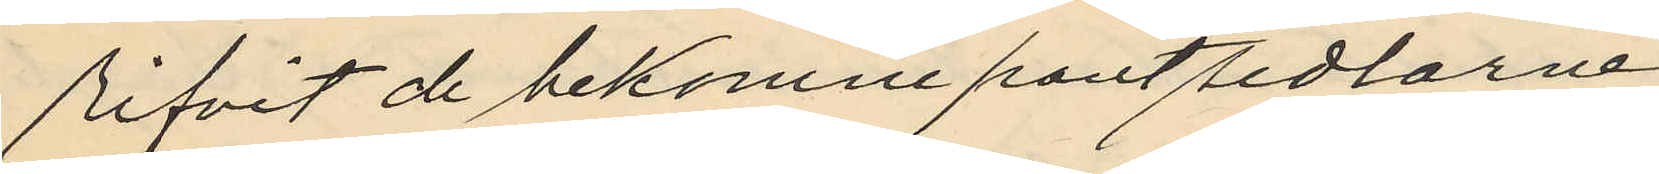rifvit de bekomne pantsedlarne.
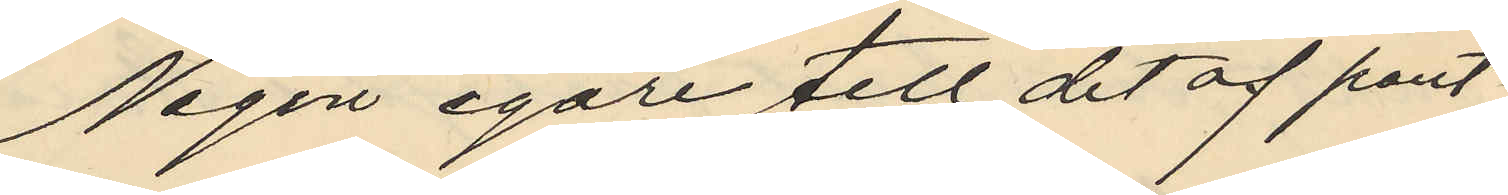Någon egare till det af pant¬
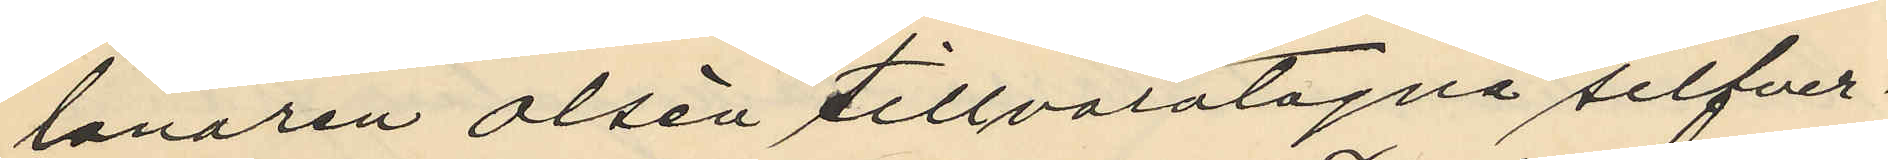lånaren Olsén tillvaratagna silfver¬
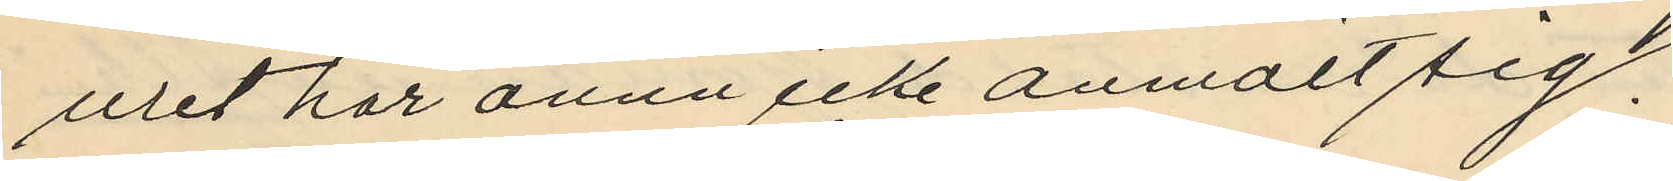uret har ännu icke anmält sig.
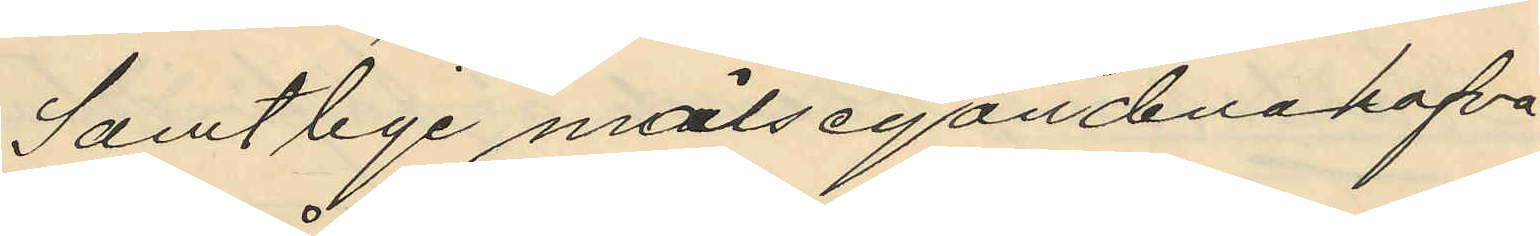Samtlige målsegandena hafva
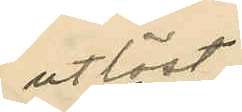utlöst
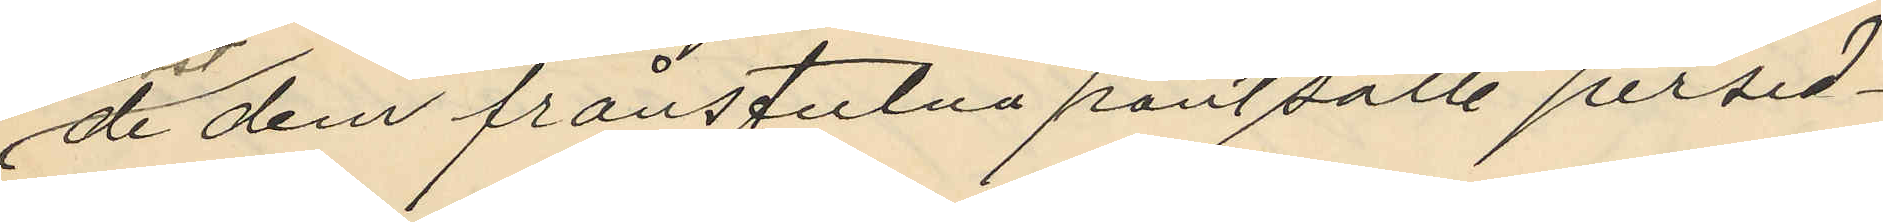de dem frånstulna pantsatte persed¬
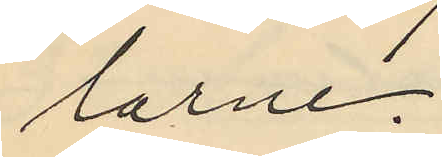larne.
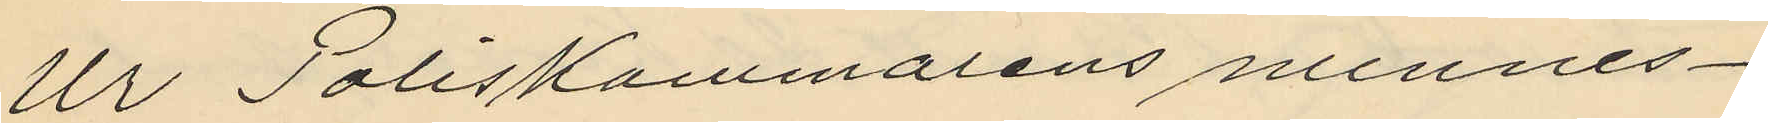Ur Poliskammarens minnes¬
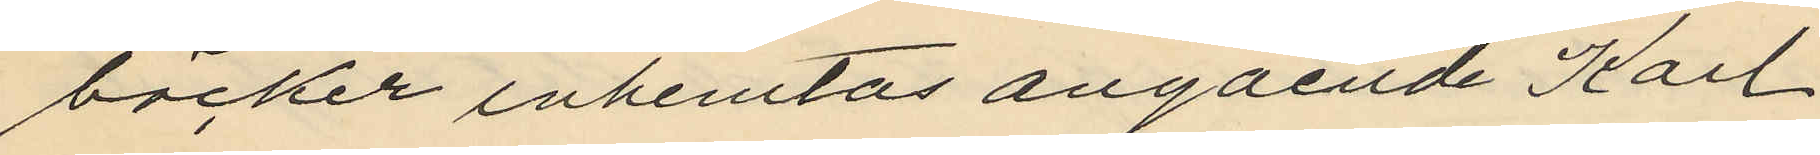böcker inhemtas angående Karl
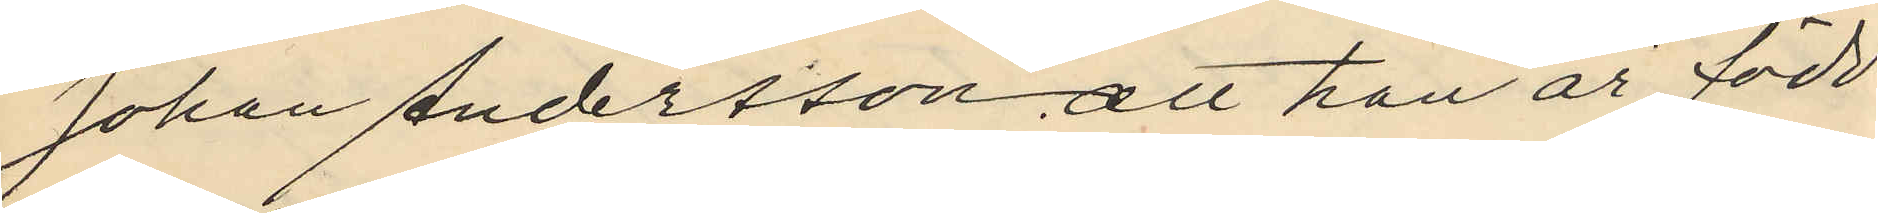Johan Andersson, att han är född
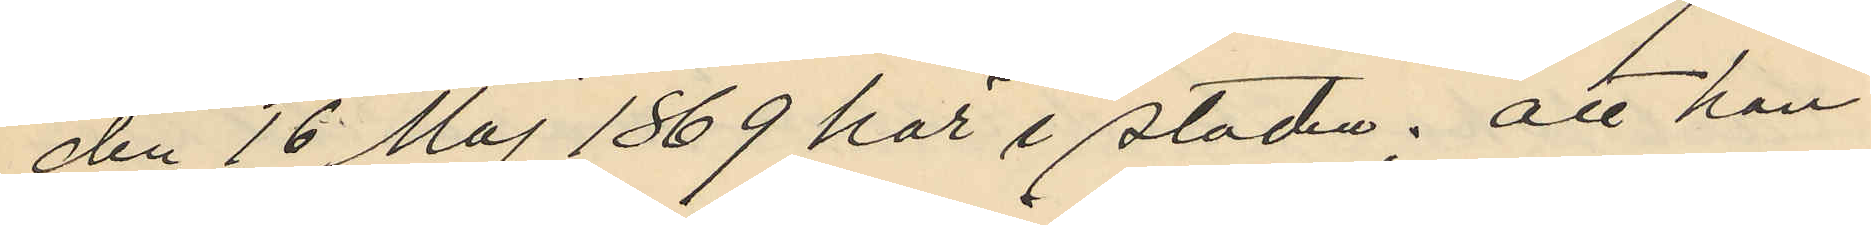den 16 Maj 1869 här i staden; att han
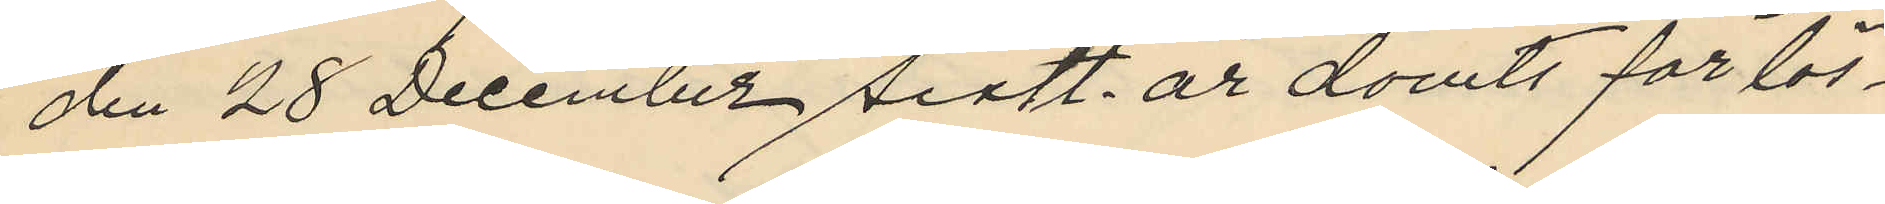den 28 December sistl. år dömts för lös¬
